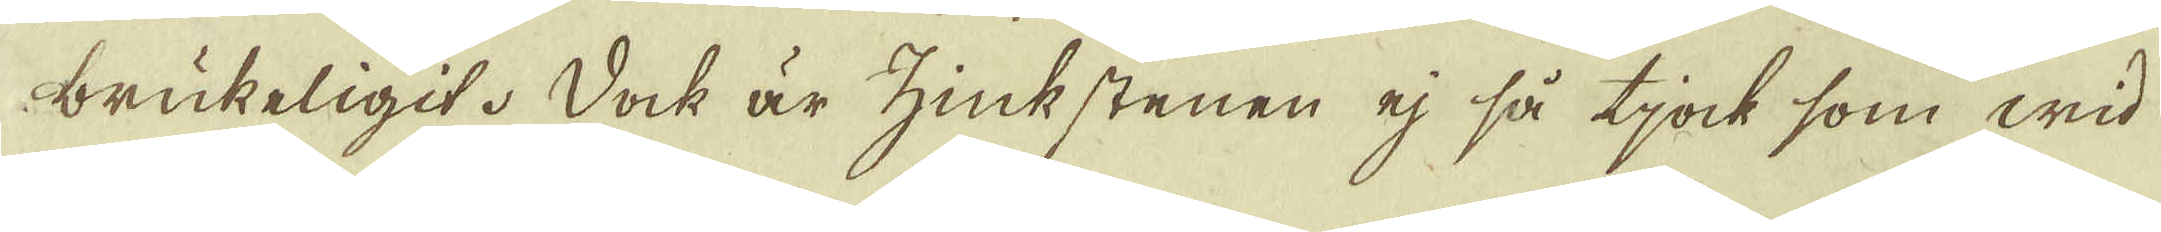brukeligit. Dock är zinkstenen ej så tjock som wid
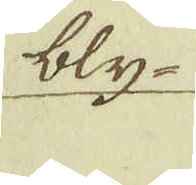bly-
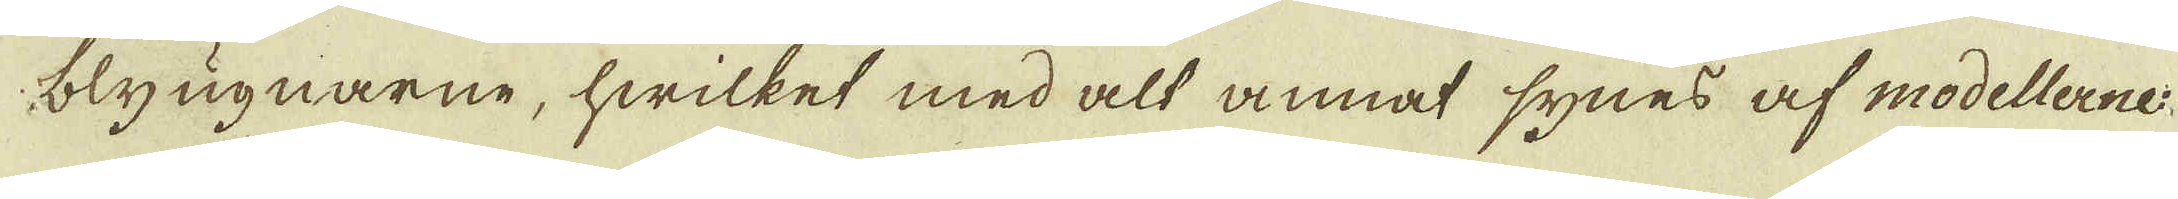blyugnarne, hwilket med alt annat synes af modellerne.
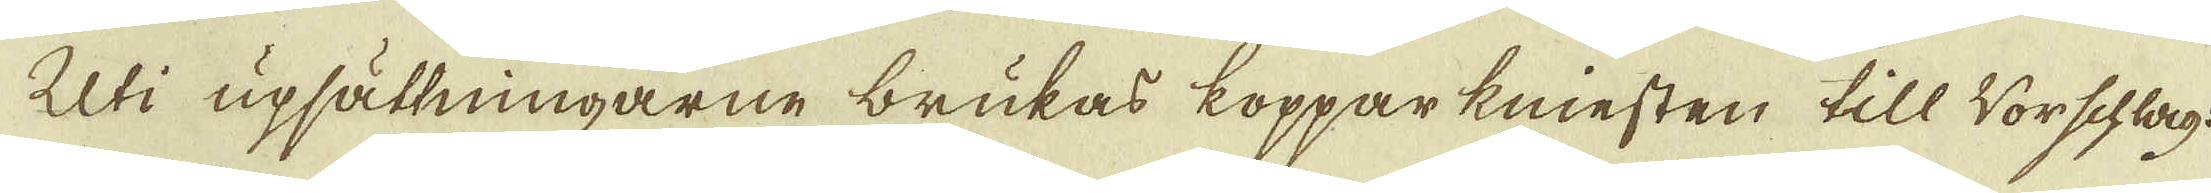Uti upsättningarne brukas kopparkniesten till Worschlag:
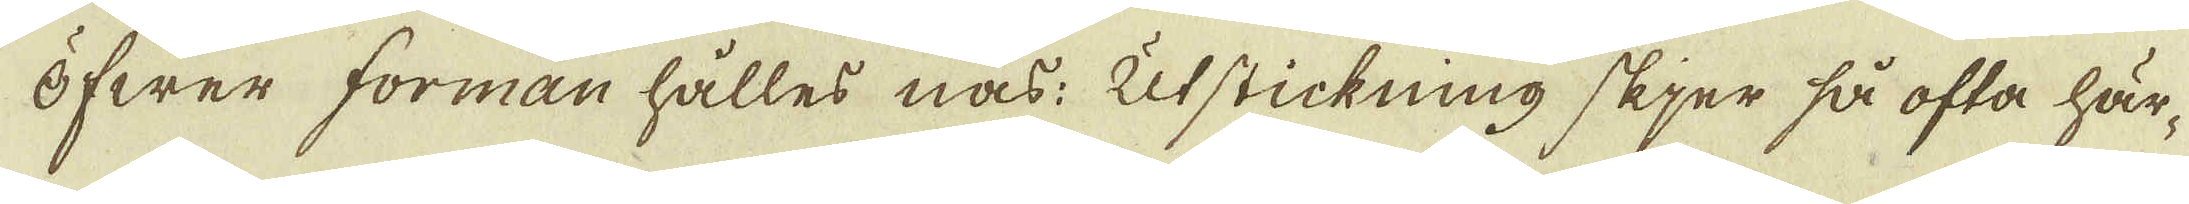Öfwer forman hålles nas: Utstickning skjer så ofta här-
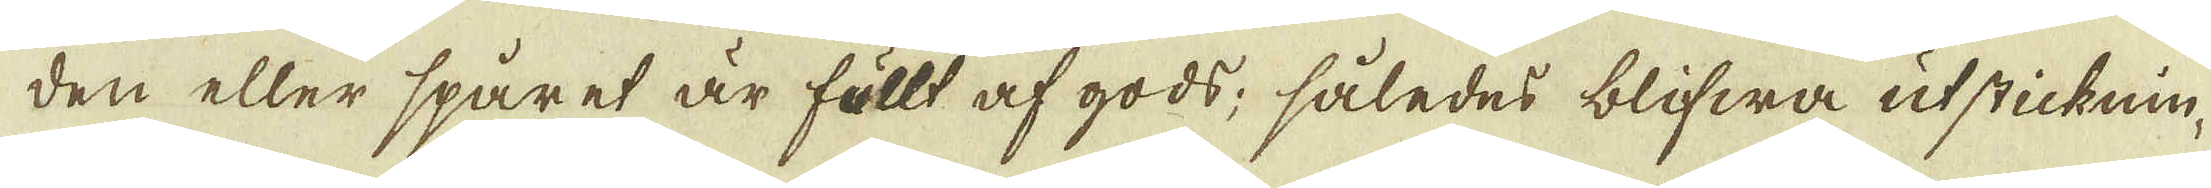den eller spåret är fullt af gods; således blifwa utsticknin-
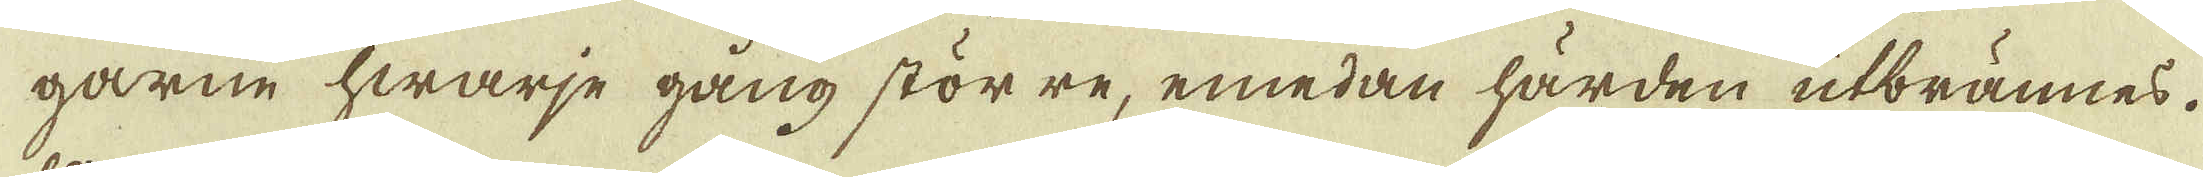garne hwarje gång större, emedan härden utbrännes.
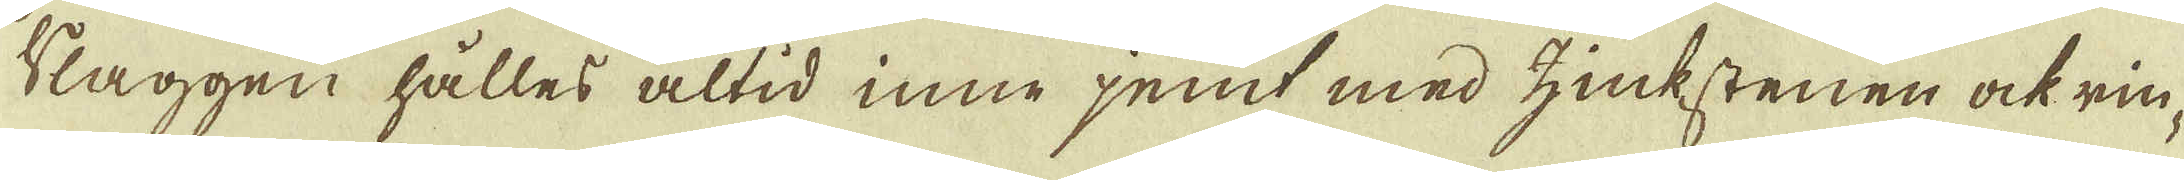Slaggen hålles altid inne jemt med zinkstenen ock rin-
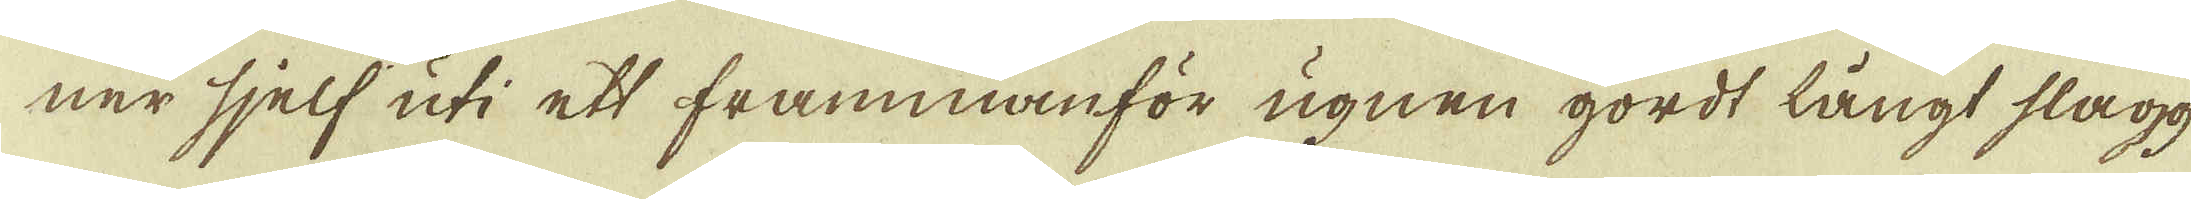ner sjelf uti ett frammanför ugnen gordt långt slagg
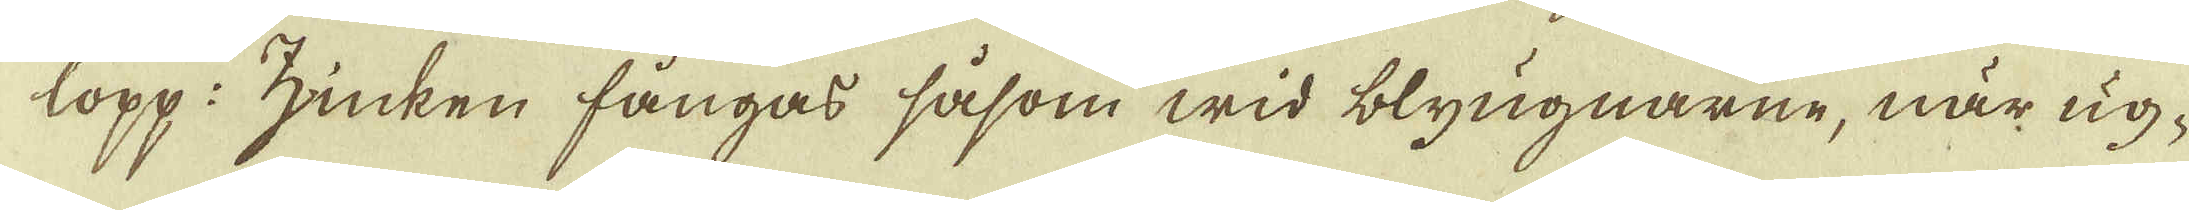lopp: zinken fångas såsom wid blyugnarne, när ug-
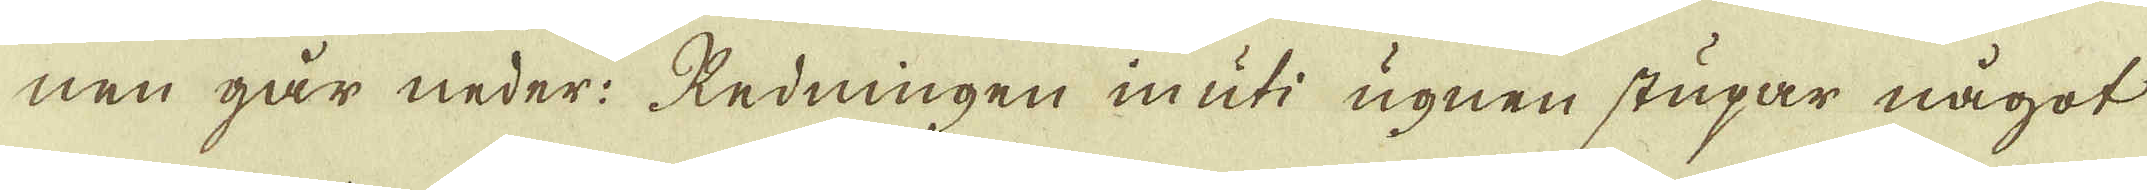nen går neder: Redningen in uti ugnen stupar något
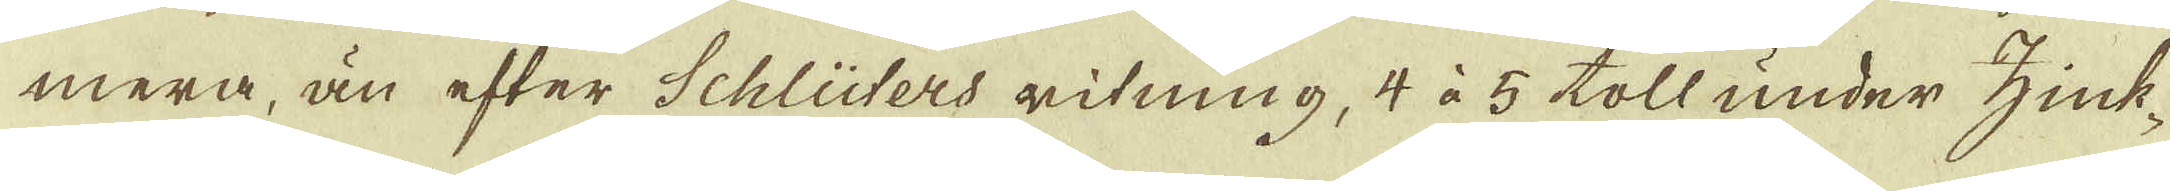mera, än efter Schlüters ritning, 4 à 5 toll under zink-
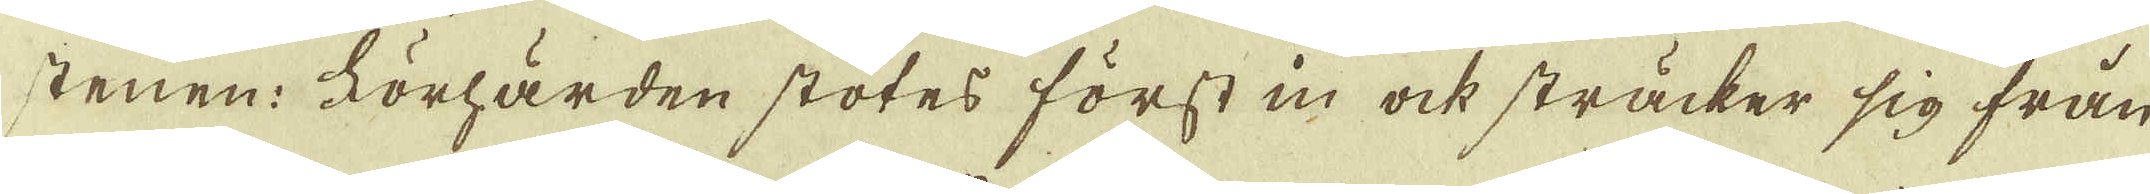stenen: Förhärden stötes först in ock sträcker sig från
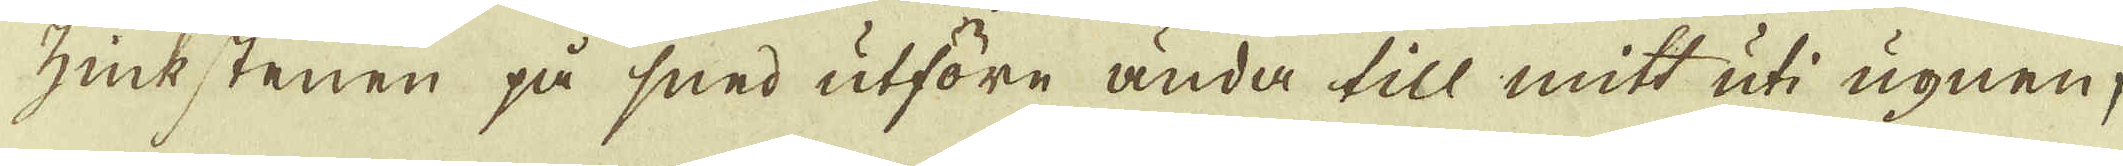zinkstenen på sned utföre ända till mitt uti ugnen;
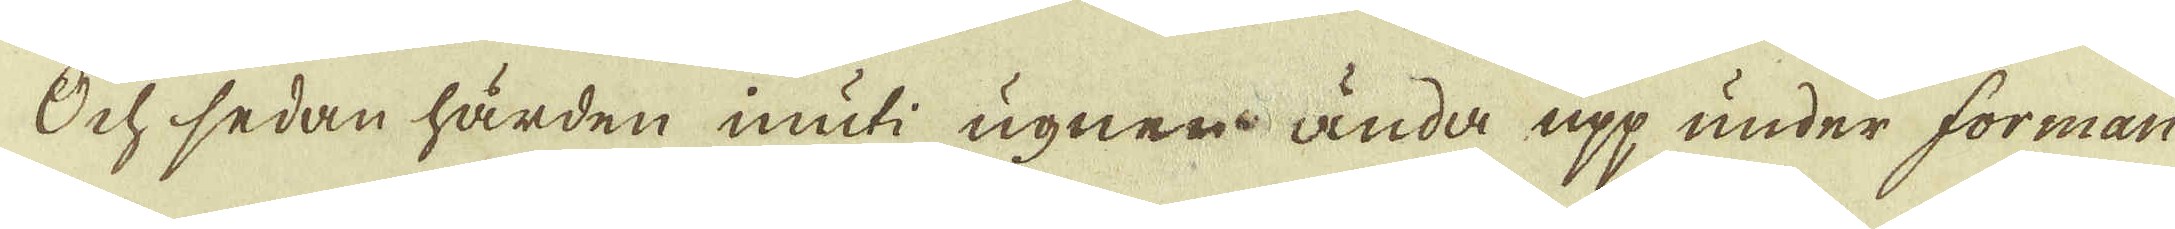Och sedan hården inuti ugnen ända upp under forman
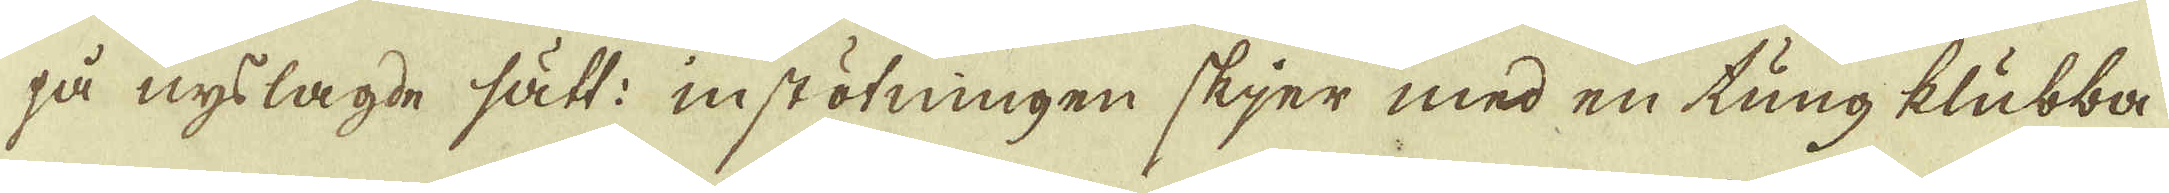på nysslagde sätt: instötningen skjer med en tung klubba
